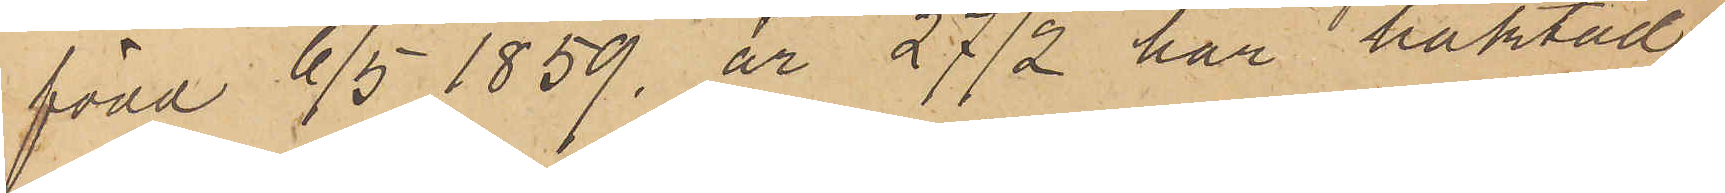född 6/5 1859, är 27/2 här häktad.
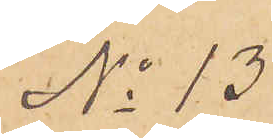No 13.
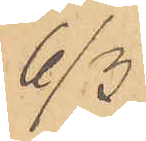6/3
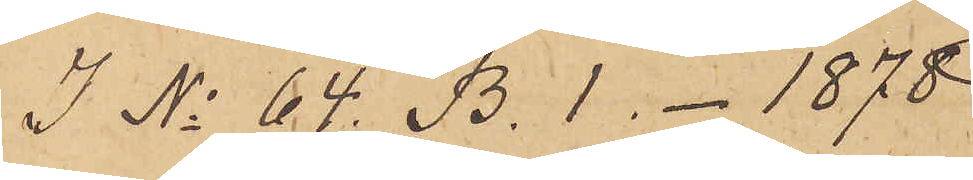I No 64. B. 1. - 1878
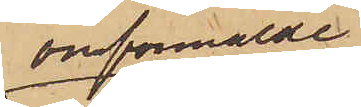omförmälde
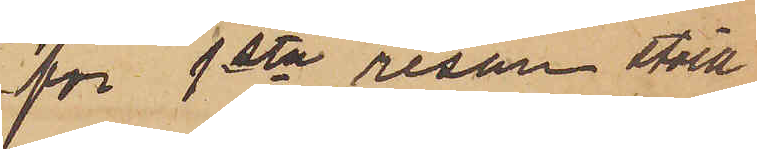för 1sta resan stöld
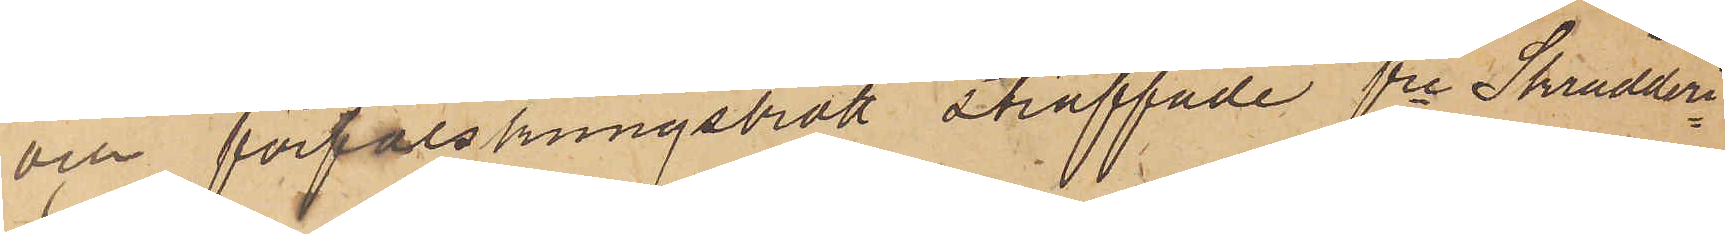och förfalskningsbrott straffade fre Skrädderi¬
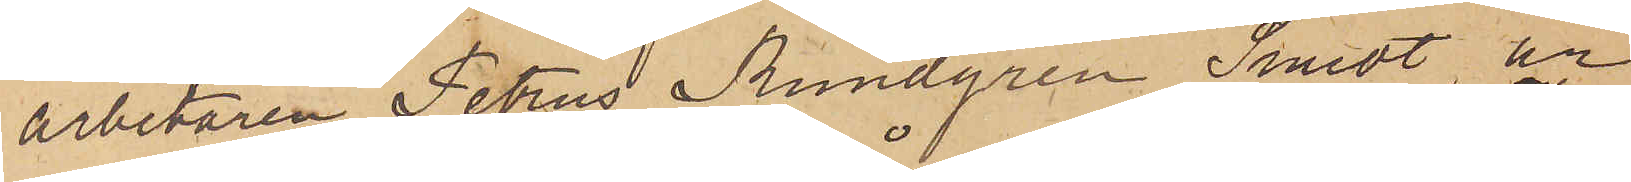arbetaren Petrus Rundgren Smidt, är
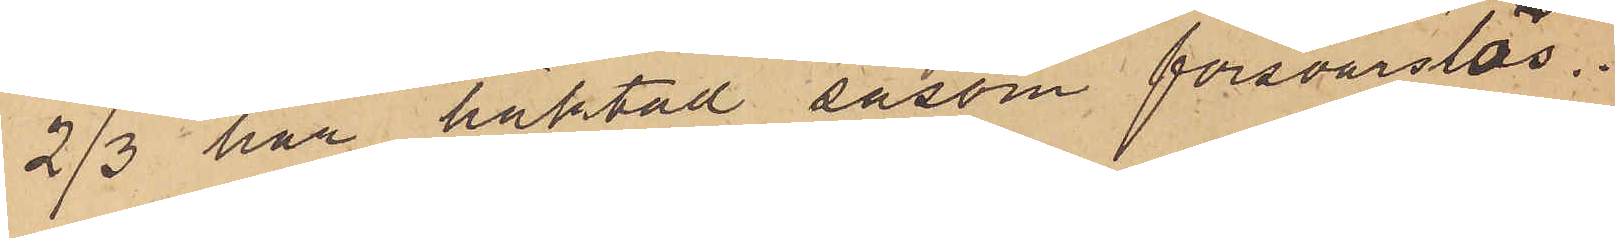2/3 här häktad såsom försvarslös.
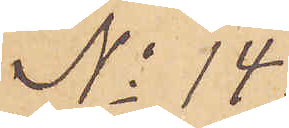No 14.
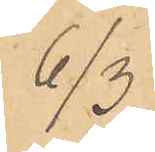6/3
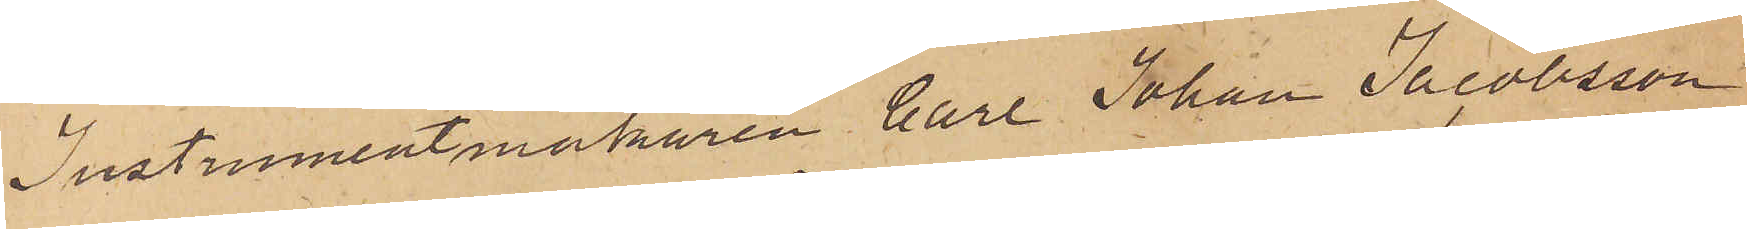Instrumentmakaren Carl Johan Jacobsson
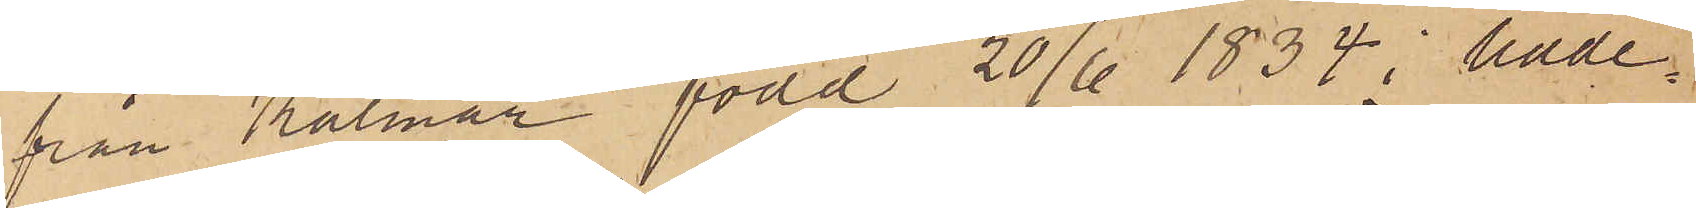från Kalmar född 20/6 1834 i Udde¬
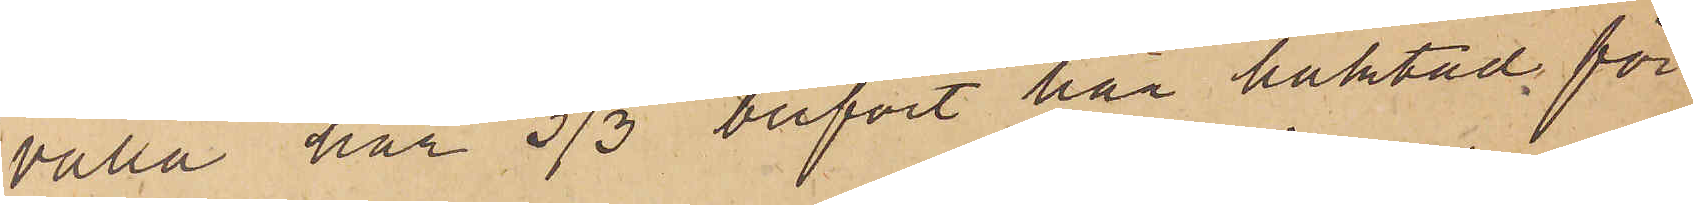valla har 3/3 blifvit här häktad för
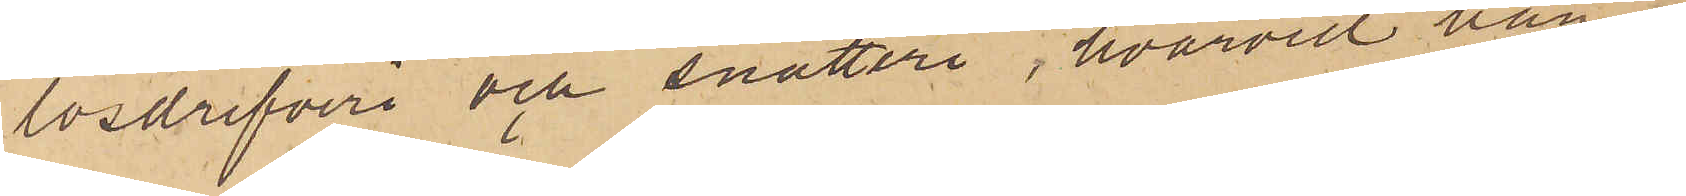lösdrifveri och snatteri, hvarvid han
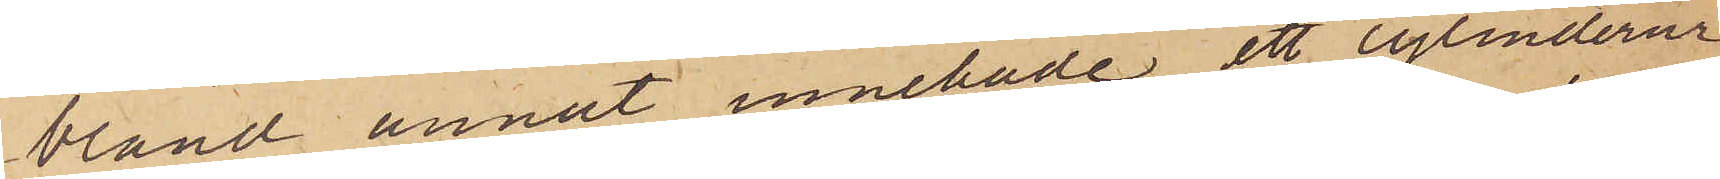bland annat innehade ett cylinderur
